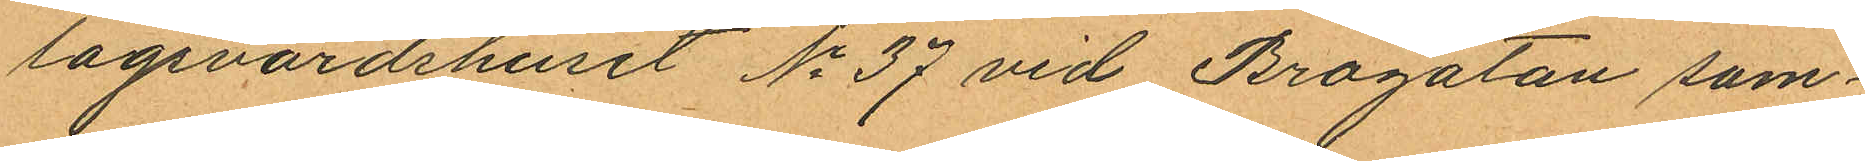lagsvärdshuset No 37 vid Brogatan sam¬
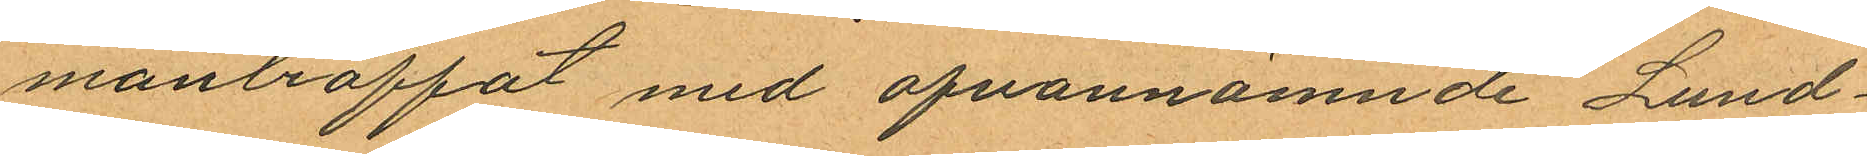manträffat med ofvannämnde Lund¬
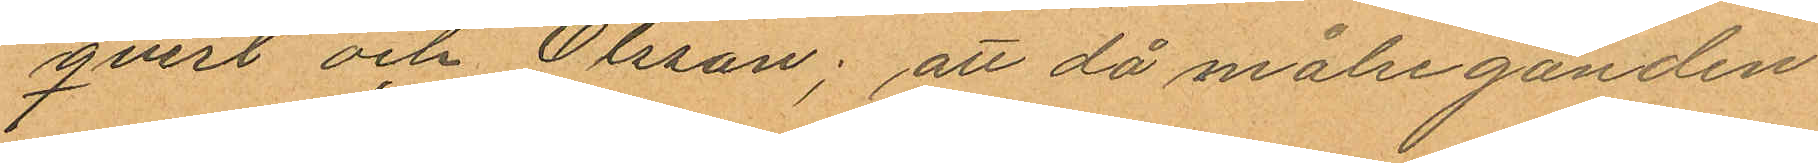qvist och Olsson; att då målseganden
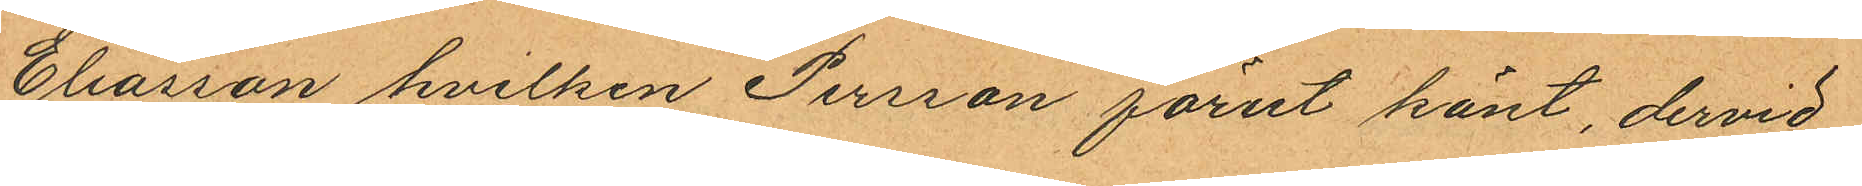Eliasson hvilken Persson förut känt, dervid
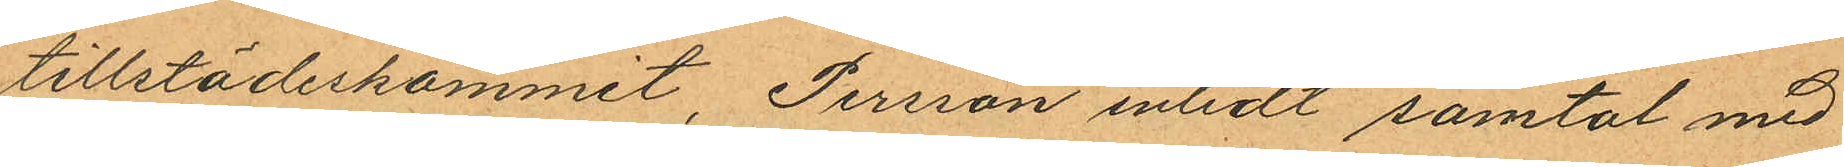tillstädeskommit, Persson inledt samtal med
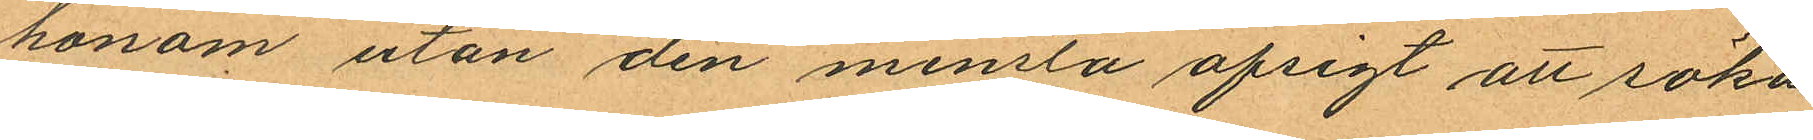honom utan den minsta afsigt att söka
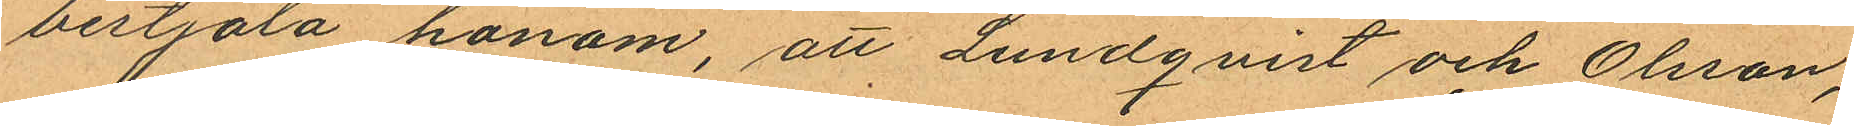bestjäla honom, att Lundqvist och Olsson,
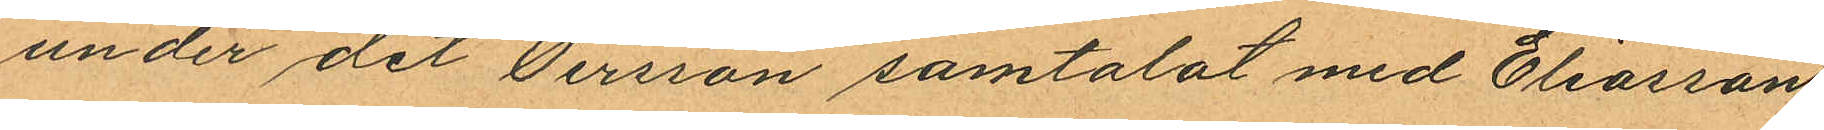under det Persson samtalat med Eliasson
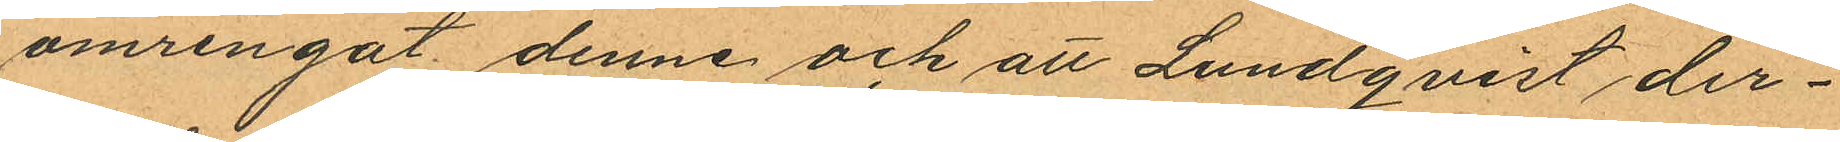omringat denne och att Lundqvist der¬
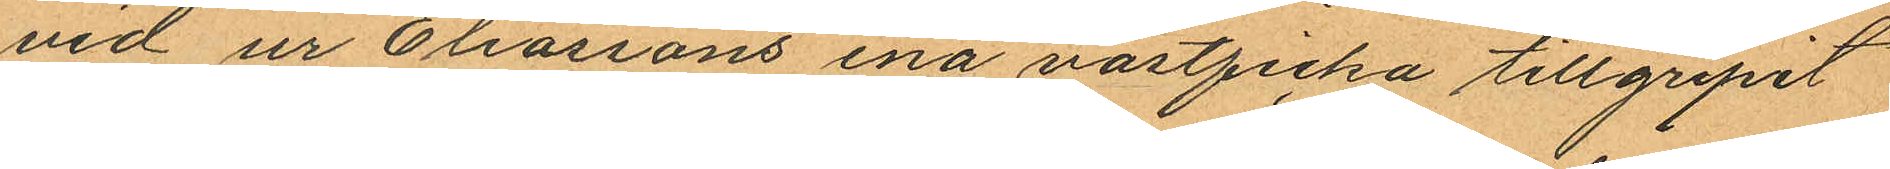vid ur Eliassons ena västficka tillgripit
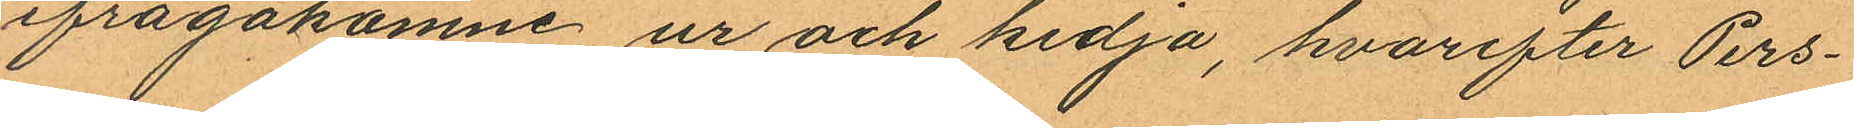ifrågakomne ur och kedja, hvarefter Pers¬
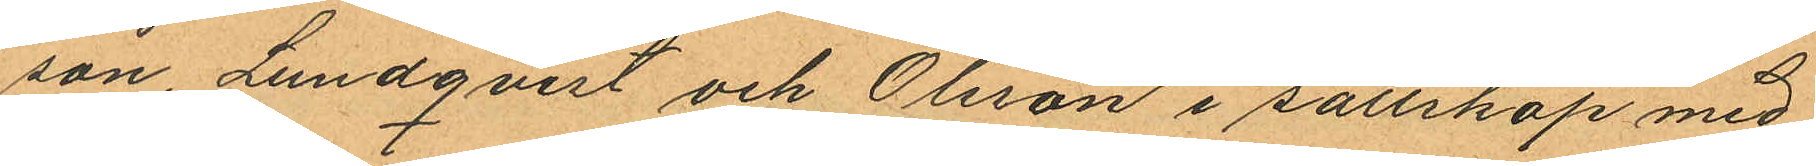son Lundqvist och Olsson i sällskap med
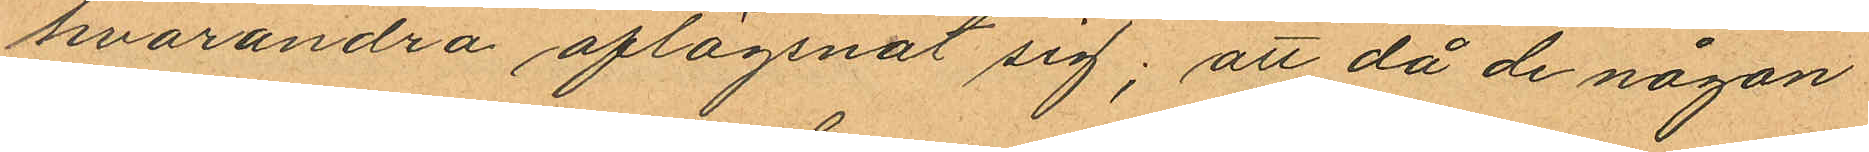hvarandra aflägsnat sig; att då de någon
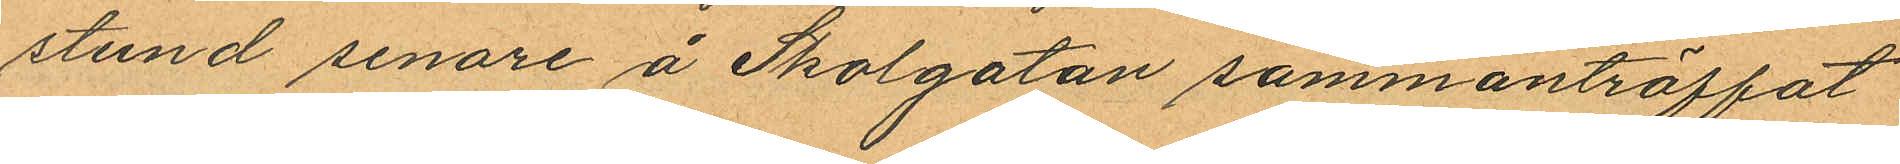stund senare å Skolgatan sammanträffat
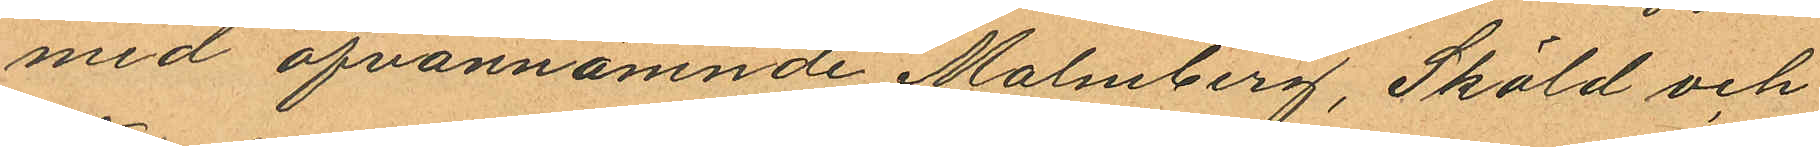med ofvannämnde Malmberg, Sköld och
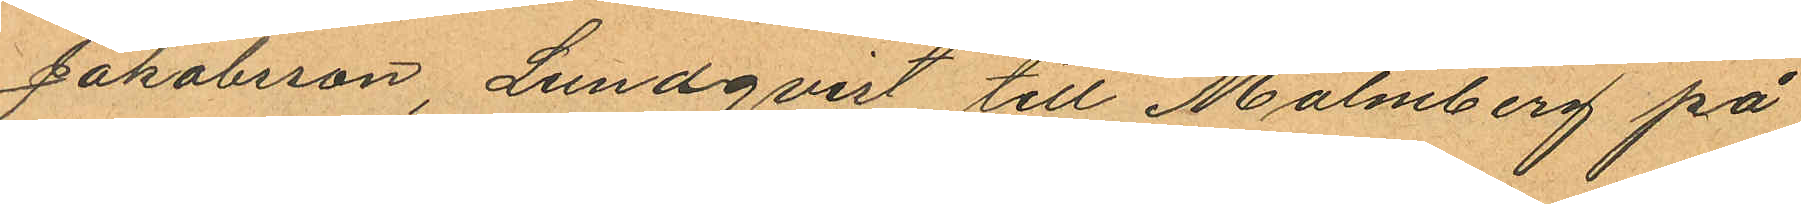Jakobsson, Lundqvist till Malmberg på
